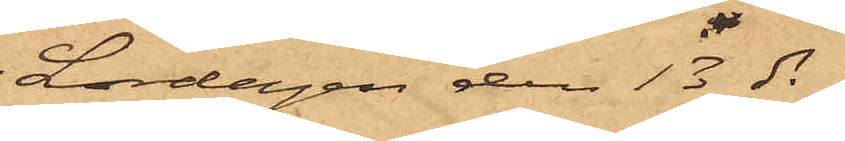Lördagen den 13 ds
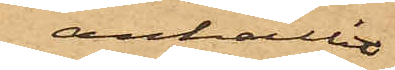anhållit
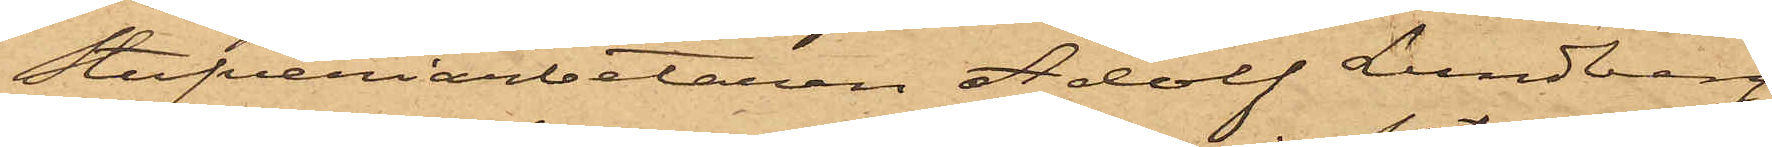stufveriarbetaren Adolf Lundberg,
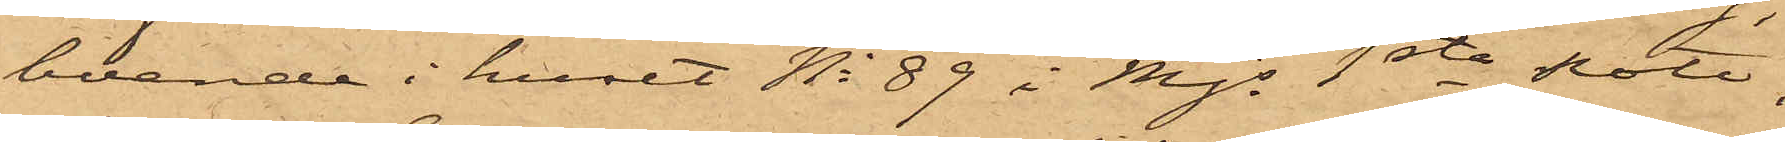boende i huset No 89 i Mjs 1sta Rote,
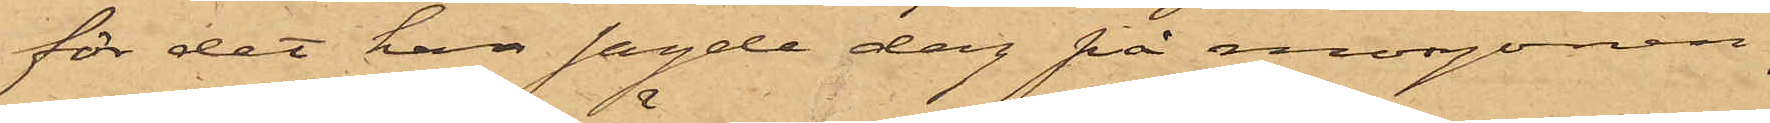för det han sagde dag på morgonen,
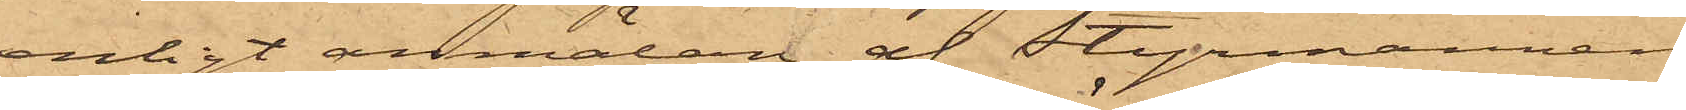enligt anmälan af styrmannen
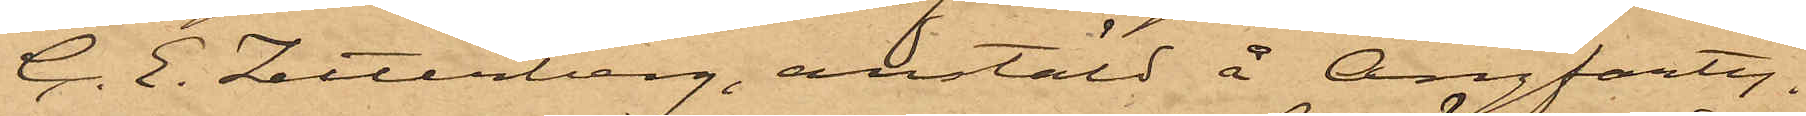G. E. Zetterberg, anstäld å Ångfarty¬
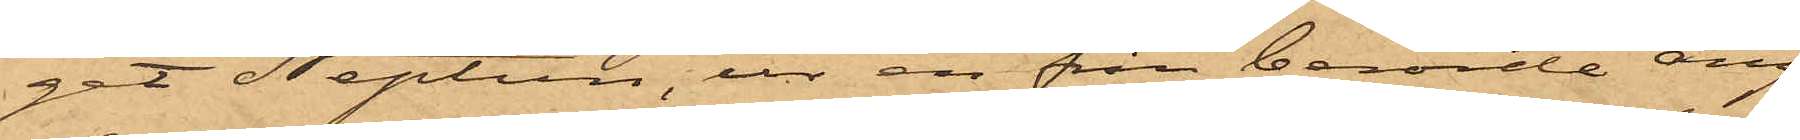get Neptun, ur en från berörde ång¬
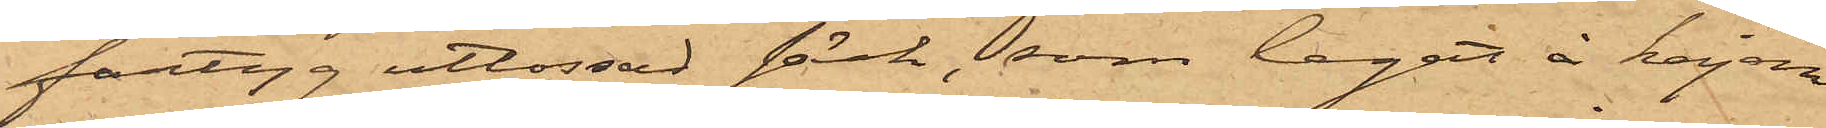fartyg utlossad säck, som legat å kajen
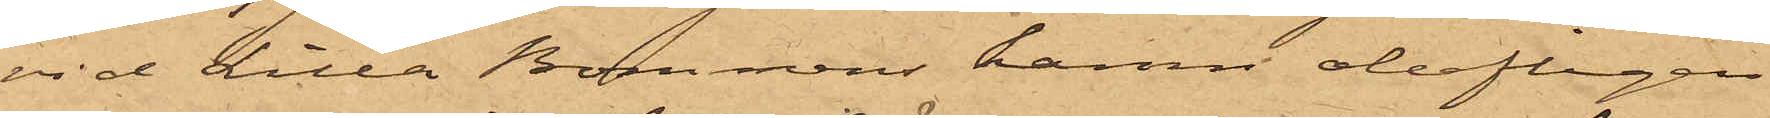vid Lilla Bommens hamn olofligen
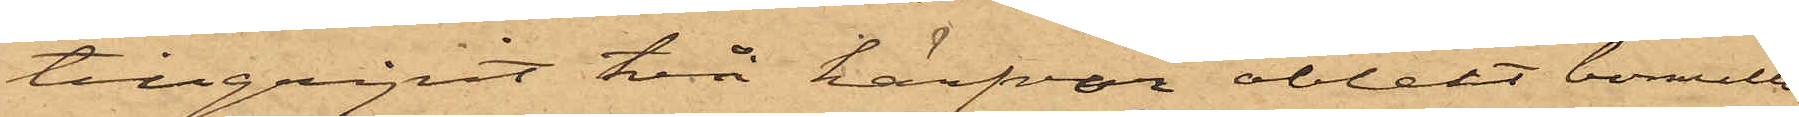tillgripit två härfvor oblekt bomulls¬
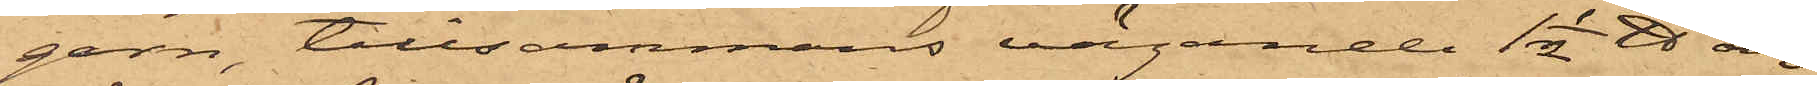garn, tillsammans vägande 1½ ℔ och
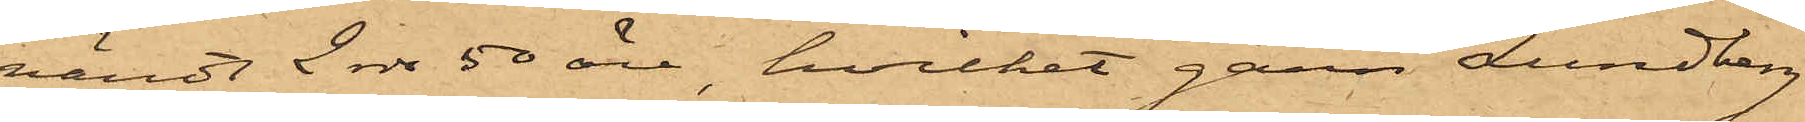värdt 2 rdr 50 öre, hvilket garn Lundberg
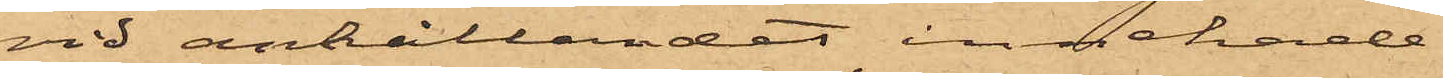vid anhållandet innehade.
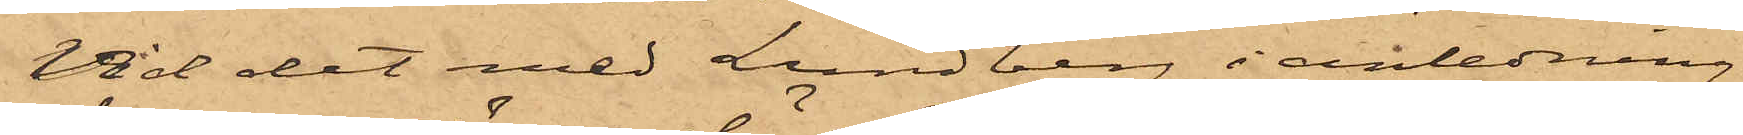Vid det med Lundberg i anledning
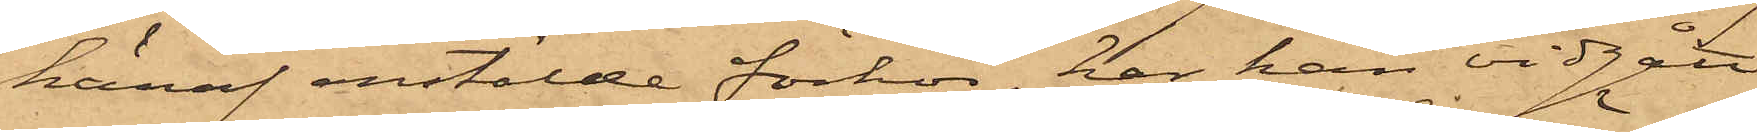häraf anstälde förhör, har han vidgått,
